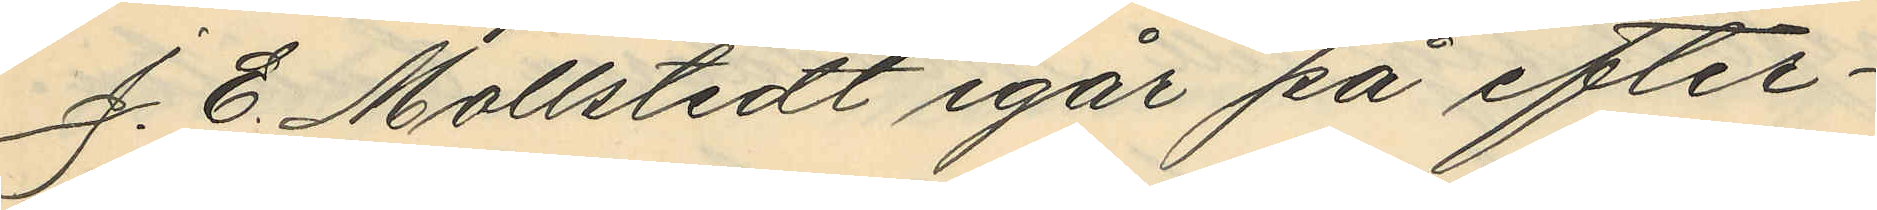J. E. Mollstedt igår på efter¬
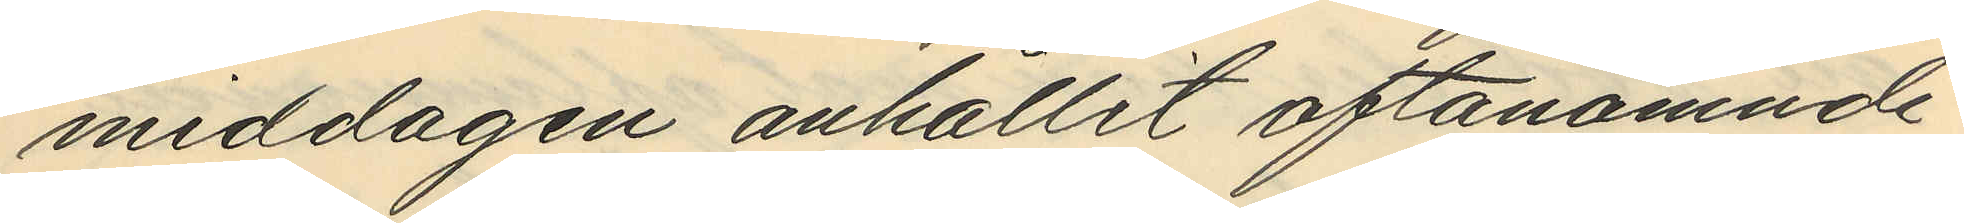middagen anhållit oftanämnde
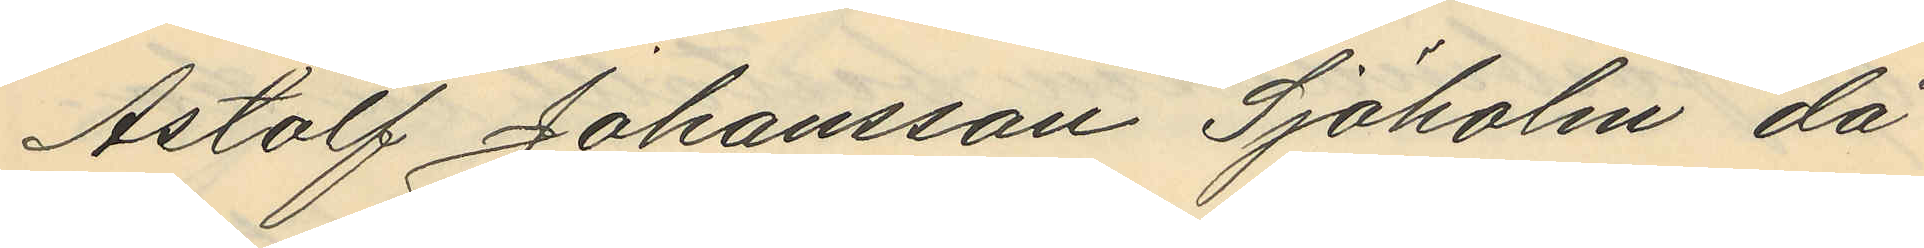Astolf Johansson Sjöholm då
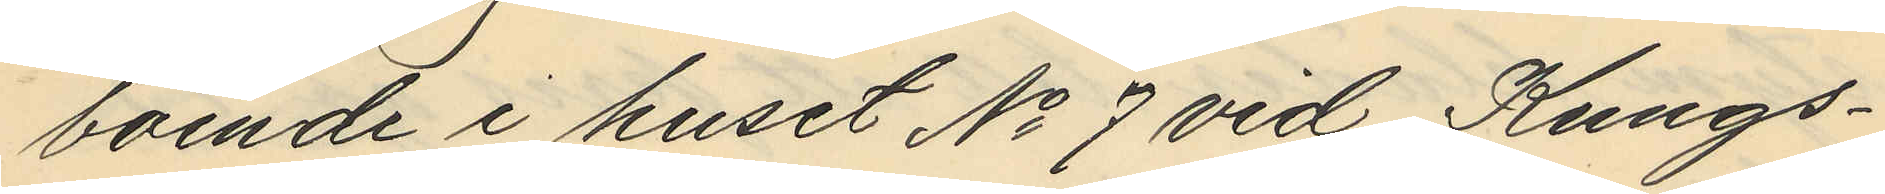boende i huset No 7 vid Kungs¬
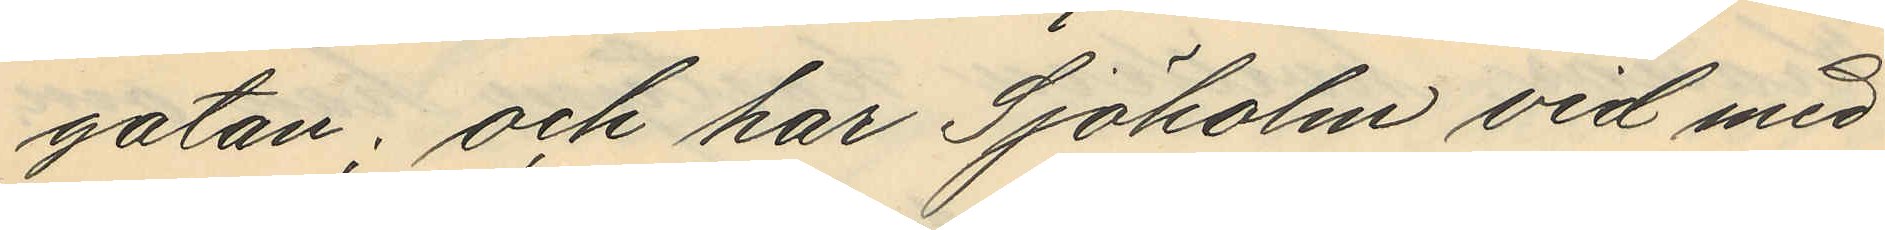gatan; och har Sjöholm vid med
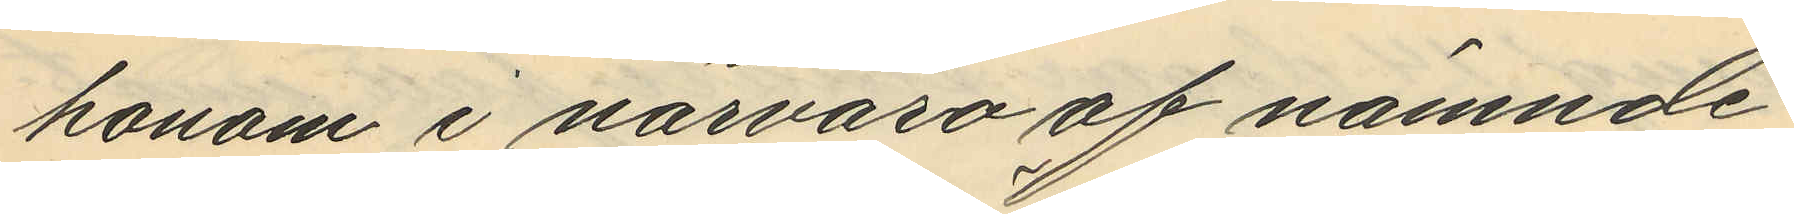honom i närvaro af nämnde
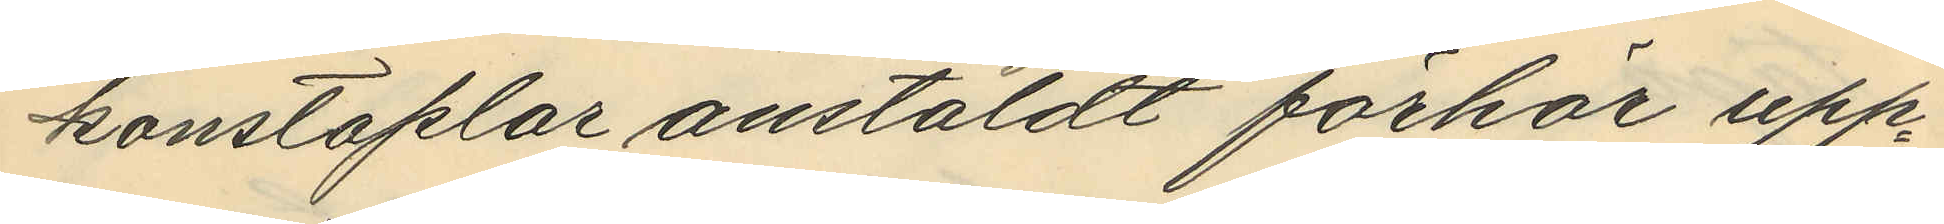konstaplar anstäldt förhör upp¬
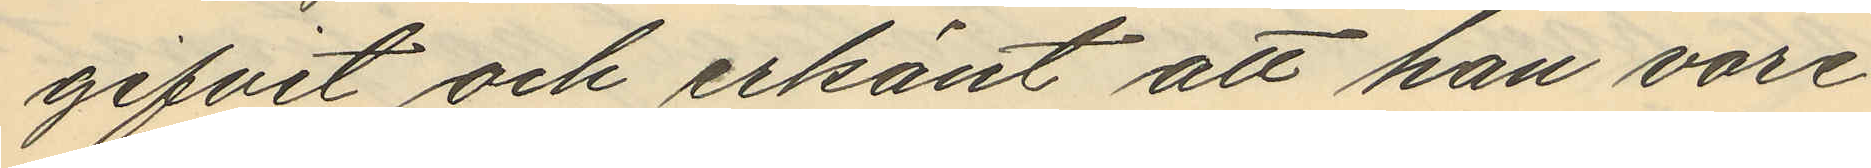gifvit och erkänt att han vore
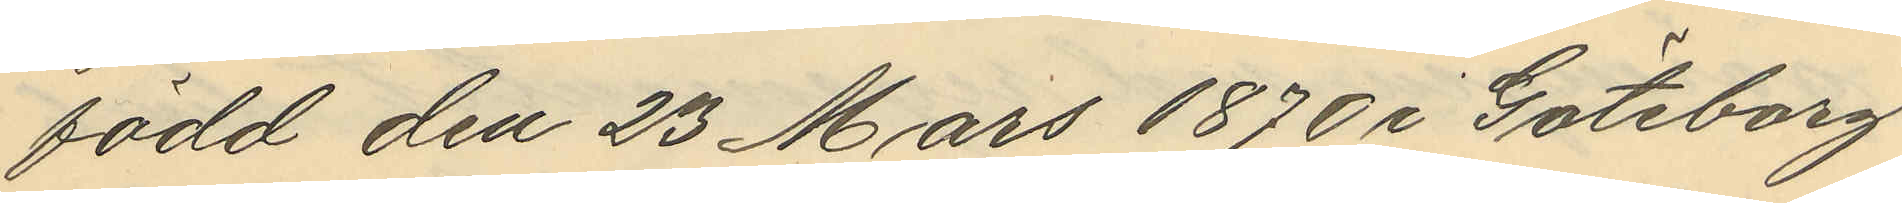född den 23 Mars 1870 i Göteborg
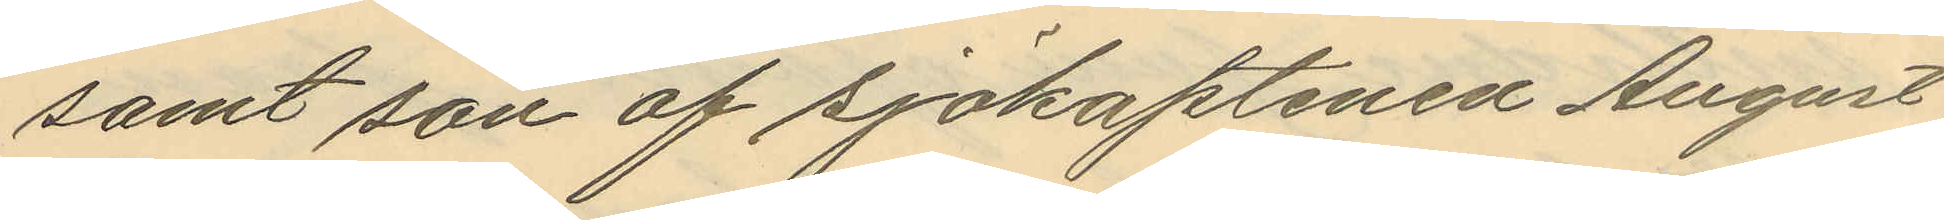samt son af sjökaptenen August
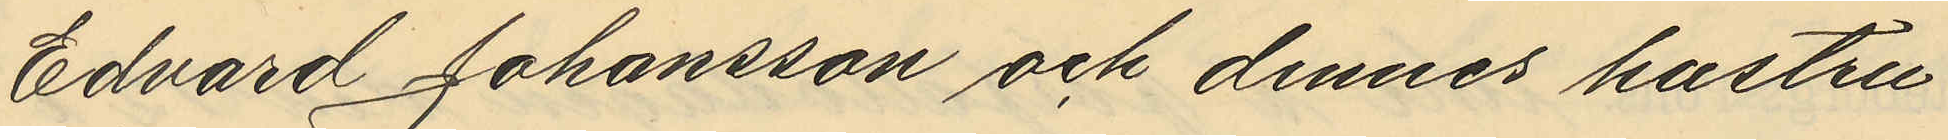Edvard Johansson och dennes hustru
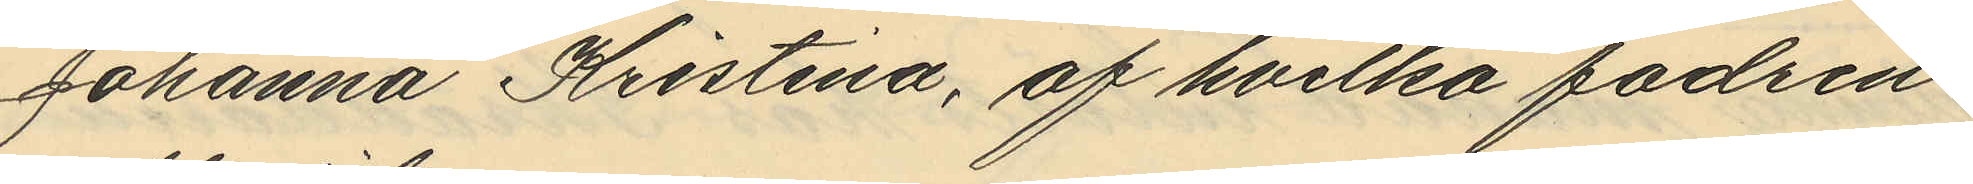Johanna Kristina, af hvilka fadren
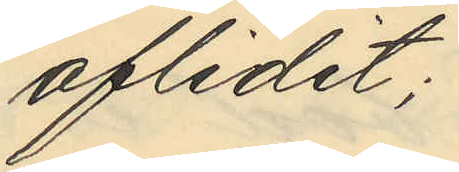aflidit;
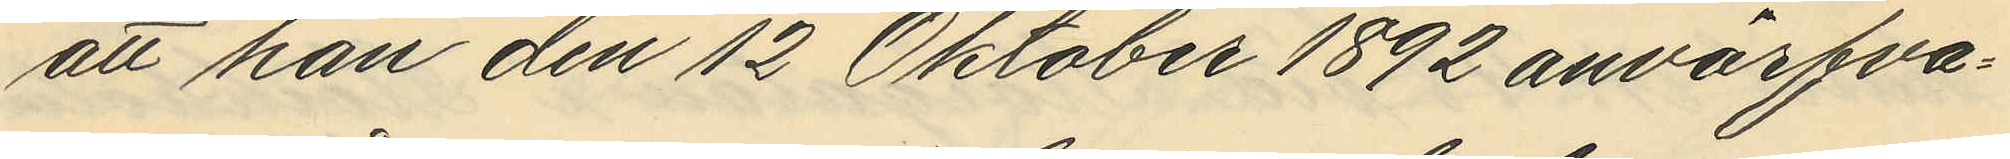att han den 12 Oktober 1892 anvärfva¬
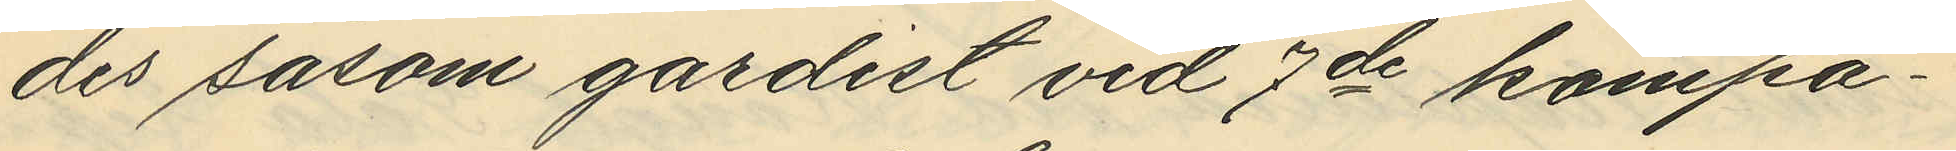des såsom gardist vid 7de kompa¬
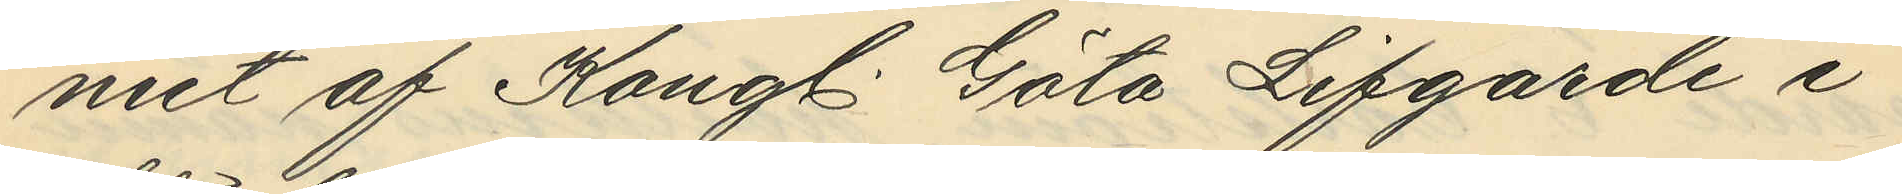niet af Kongl. Göta Lifgarde i
